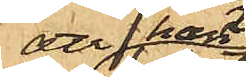att han
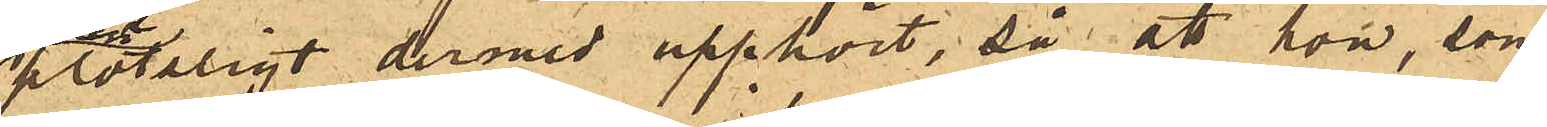plötsligt dermed upphört, så att hon, som
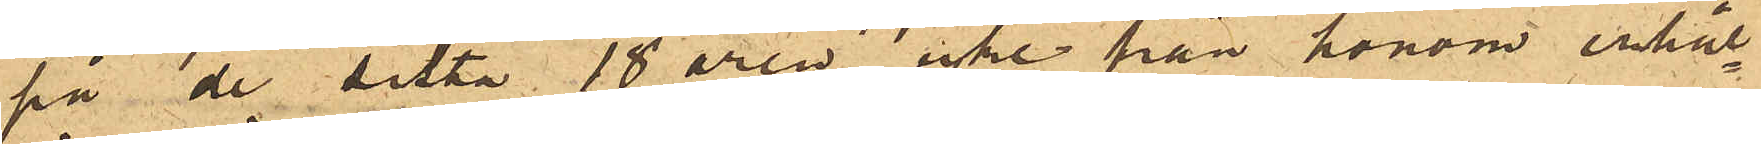på de sista 18 åren icke från honom erhål¬
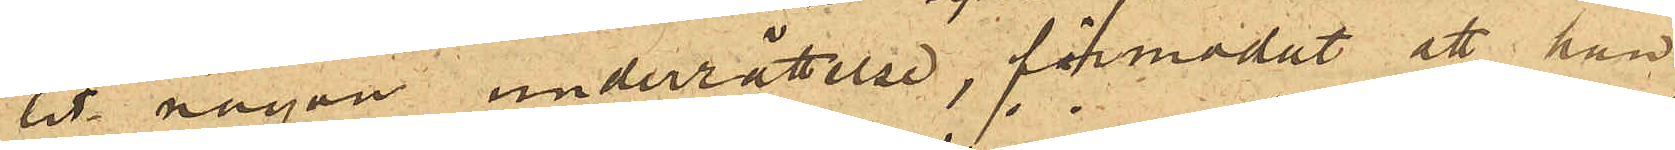lit någon underrättelse, förmodat att han
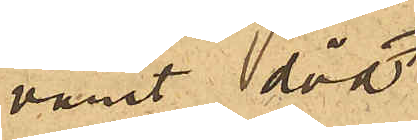vanit död;
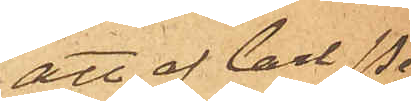att af Carl Pe¬
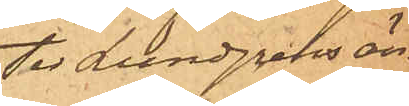ter Lundgrens än¬
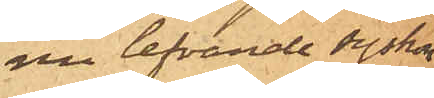nu lefvande syskon
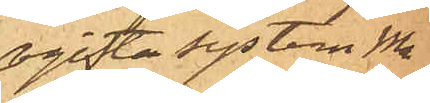ogifta systern Ma¬
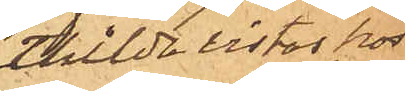thilda vistas hos
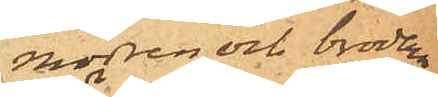modren och brodern
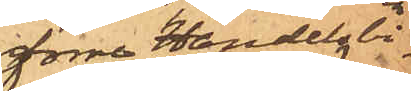förre Handelsbi¬
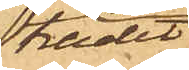trädet
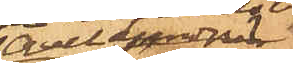Axel Lundgren
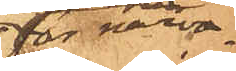för närva¬
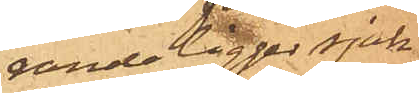rande ligger sjuk
